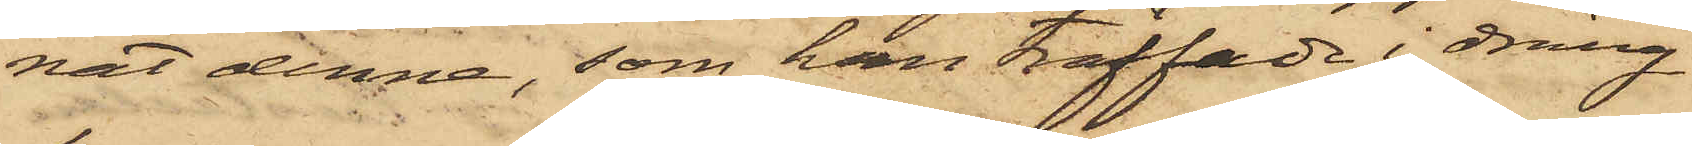nat denna, som han träffade i dräng¬
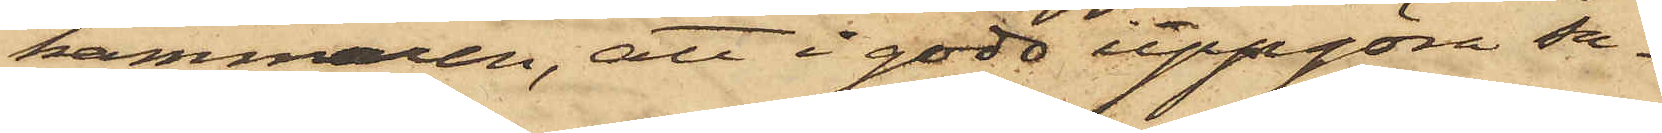kammaren, att i godo uppgöra sa¬
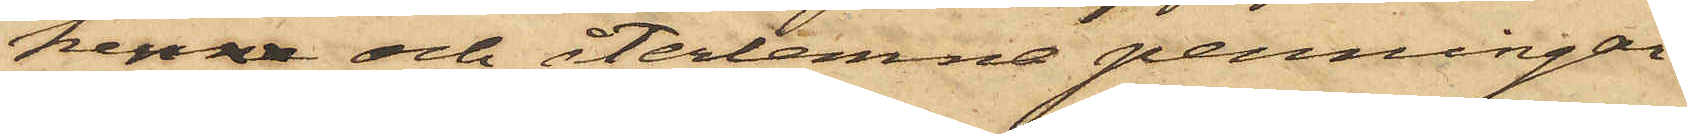kenne och återlemna penningar¬
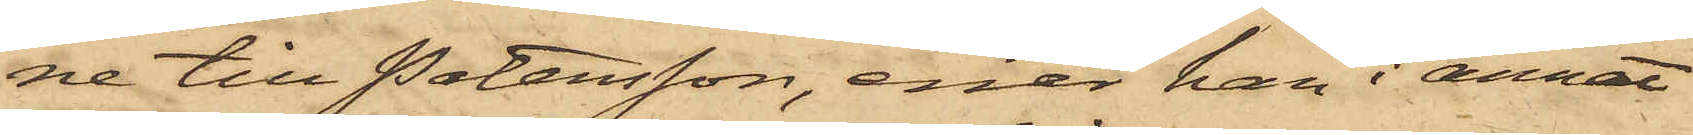ne till Petersson, enär han i annat
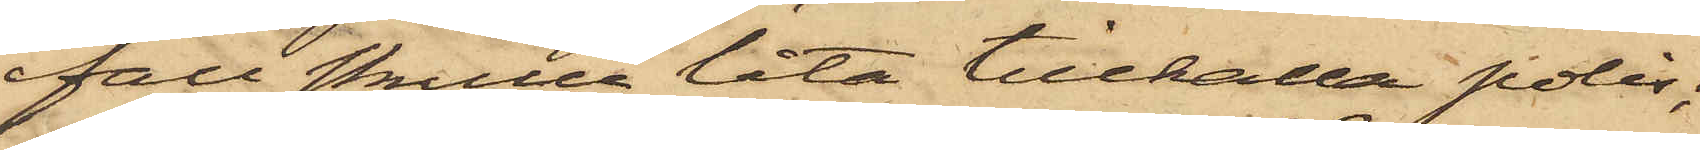fall skulle låta tillkalla polis;
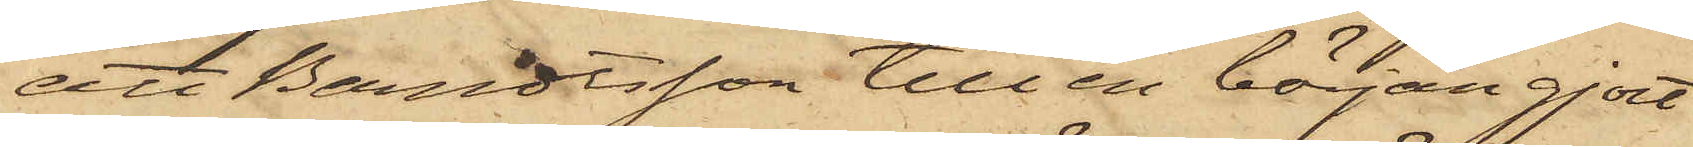att Berndtsson till en början gjort
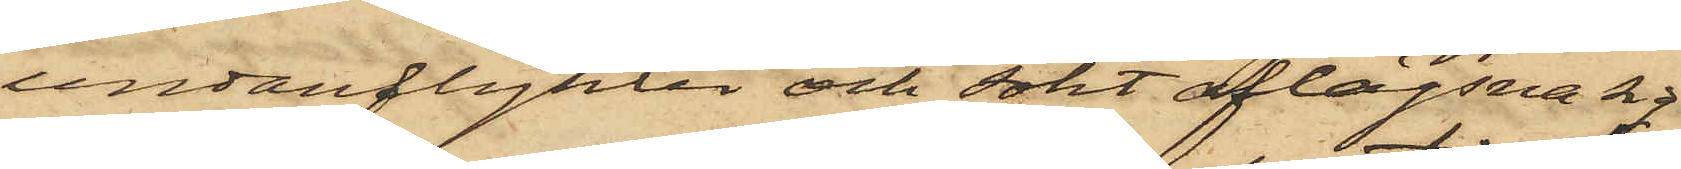undanflykter och sökt aflägsna sig
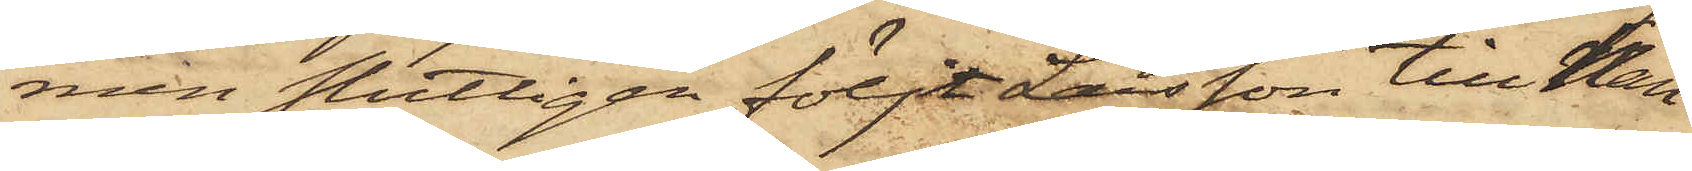men slutligen följt Larsson till Han¬
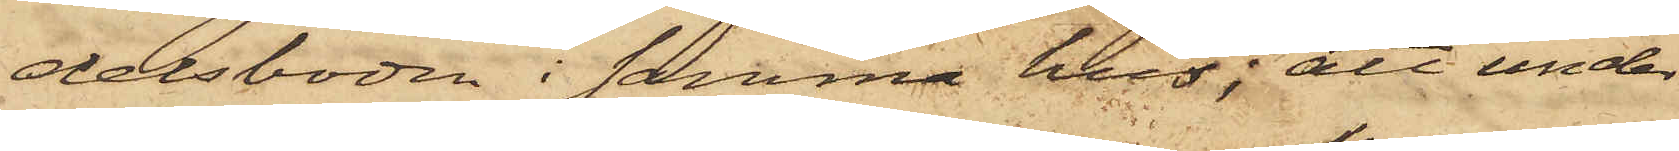delsboden i samma hus; att under
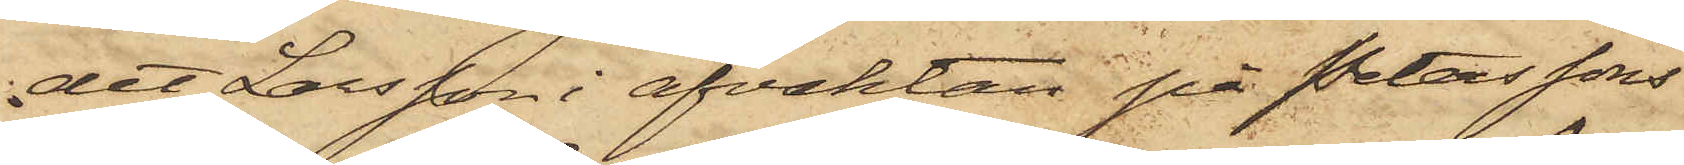det Larsson i afvaktan på Peterssons
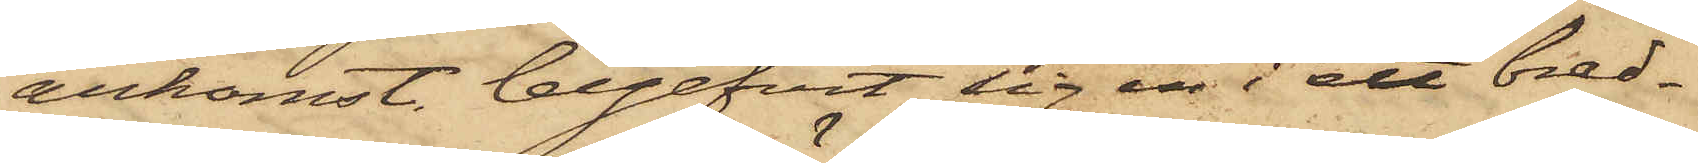ankomst, begifvit sig in i ett bred¬
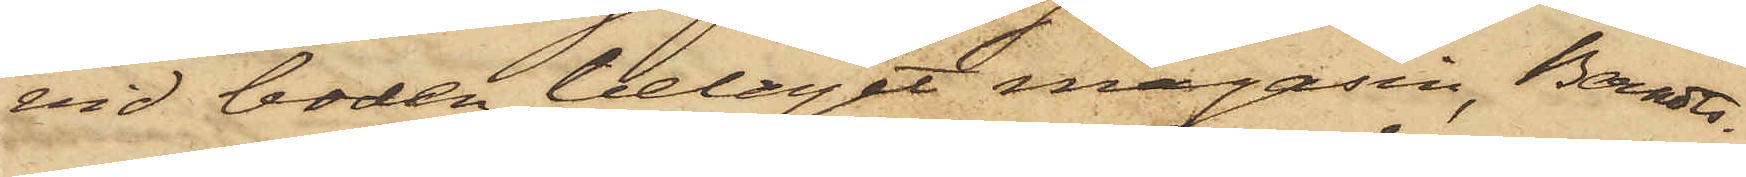vid boden beläget magasin, Berndts¬
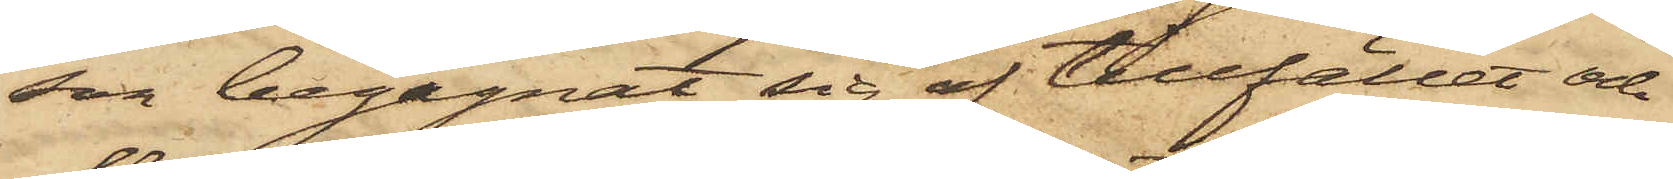son begagnat sig af tillfället och
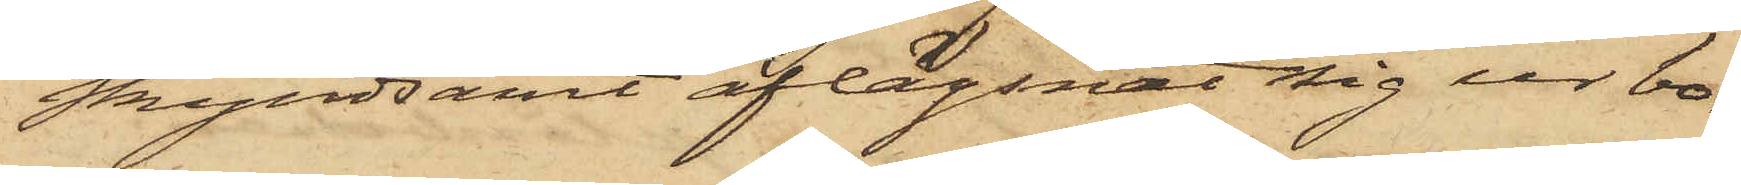skyndsamt aflägsnat sig ur bo¬
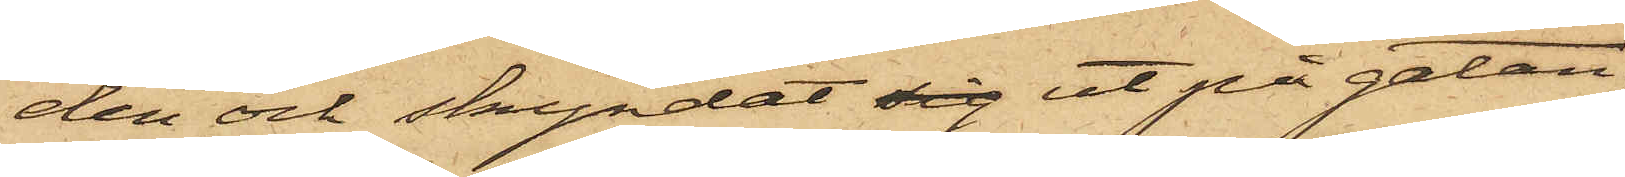den och skyndat sig ut på gatan;
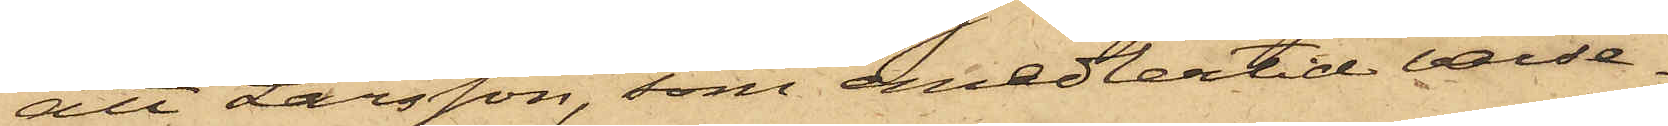att Larsson, som emedlertid varse¬
